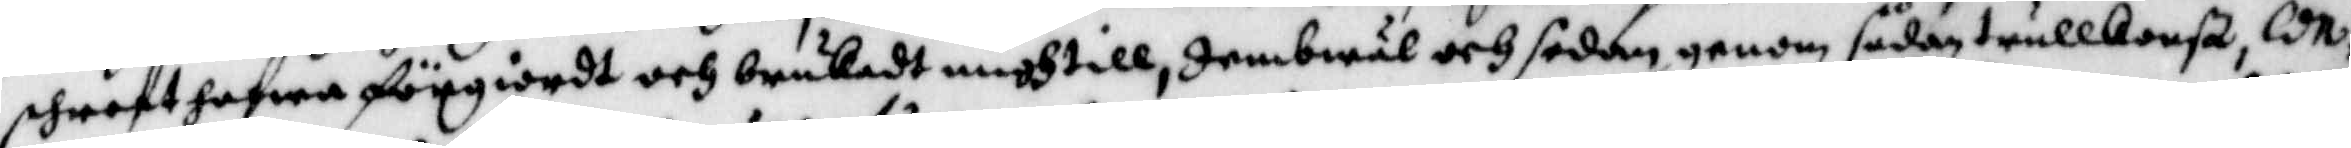phrost hafwa förgiordt och brukadt migh till, Jembwäl och sedan genom sådan trullkonst CDN
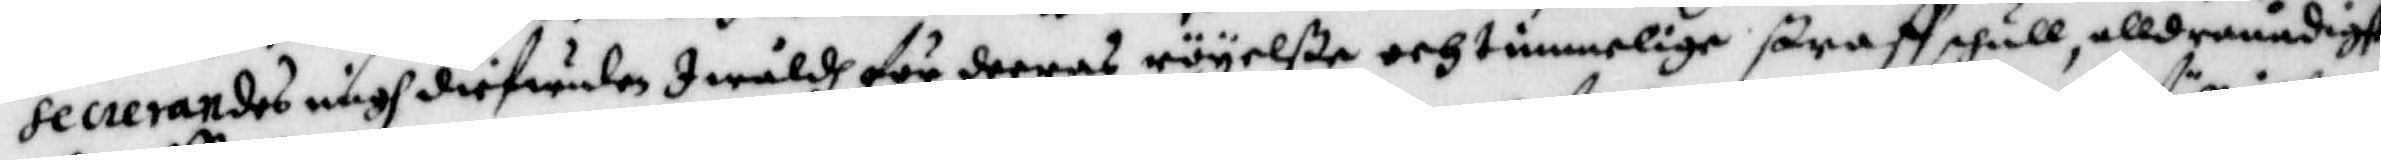secrerandes migh diefwulen I wåldh för deeras röyelße och timmelige straff skull, alldeanådigst
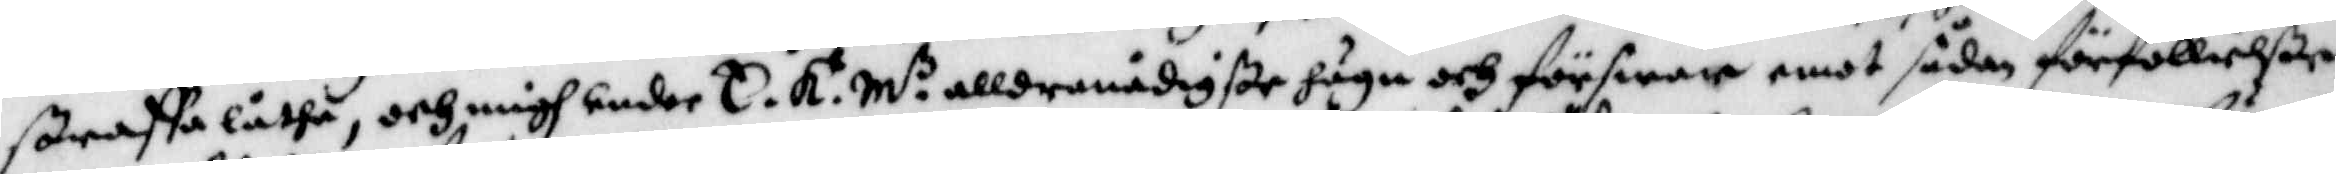straffa låtha, och migh under E. K. M.z allernådigste höga och förswar emot sådan förföllielße
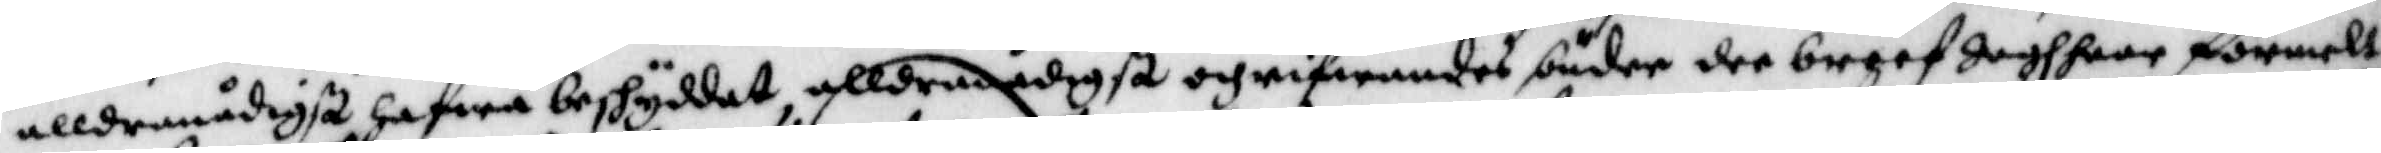alldranådigst hafwa beshyddat, alldranådigst hafwa beskyddat, alldranådigst och rifwandes buder der breef jagh haar förmelt
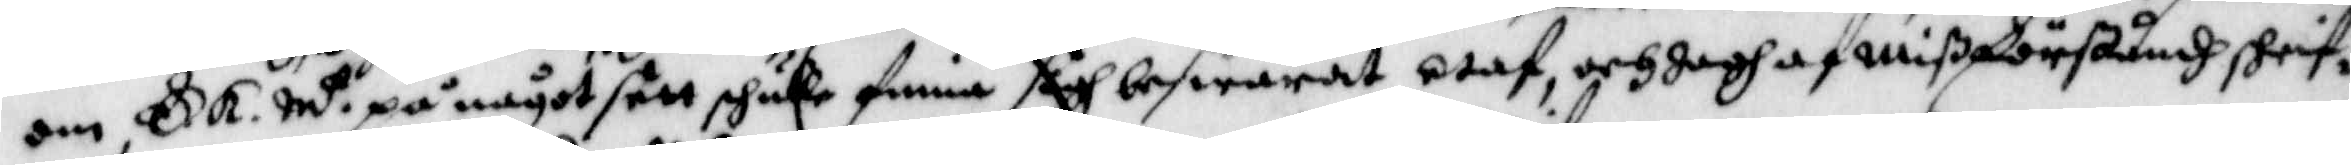om E. K. M.z på något sätt skulle finna sigh beswärat utaf, och jagh af mißförståndh skrif¬
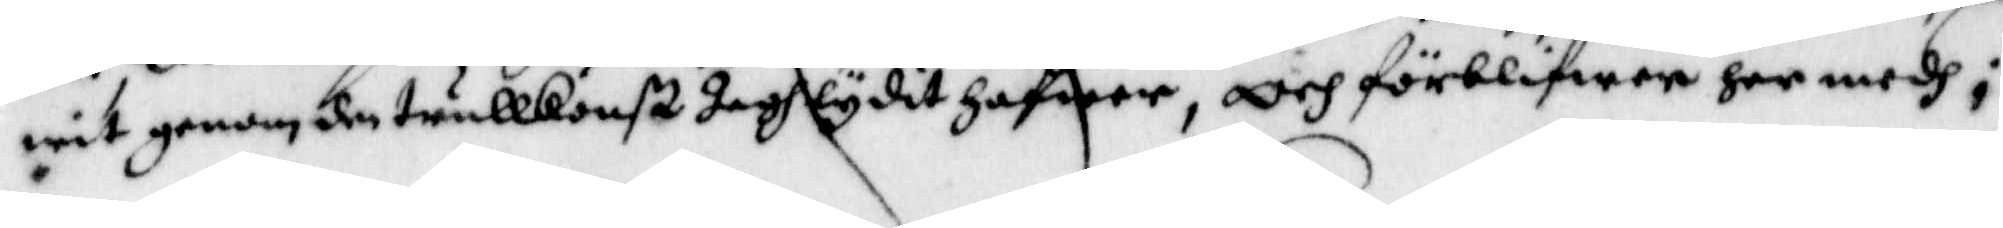wit genom den trullkonst Jagh lydit hafwer, och förblifwer her medh i
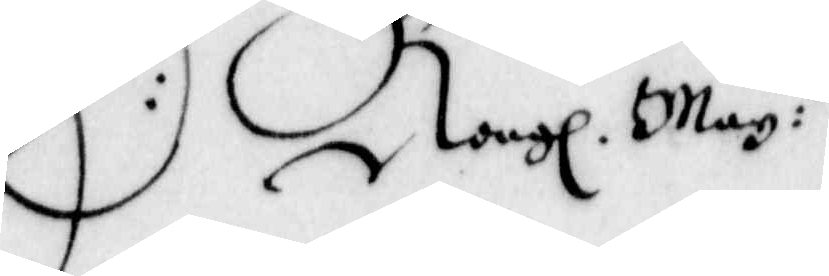E:s Kongl. May:tz
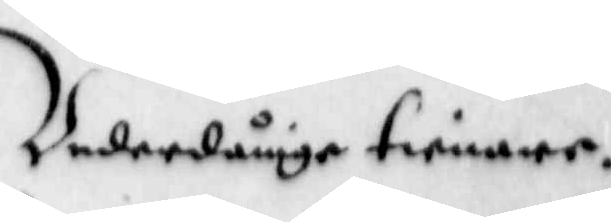Underdånige tienare.
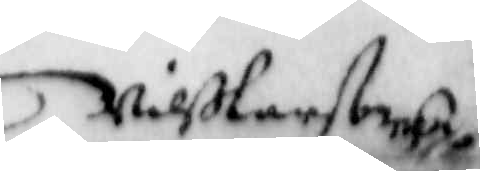Nilß Larson
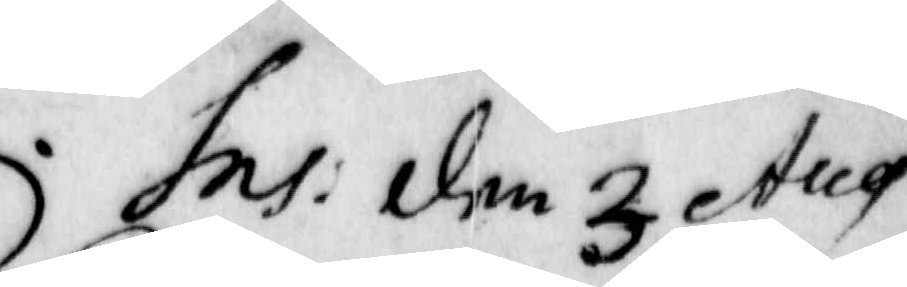Ins: den 3 Aug
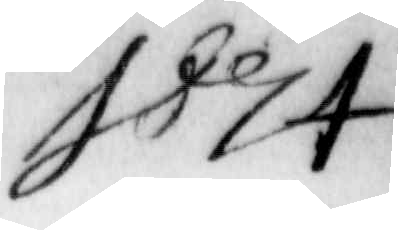1674
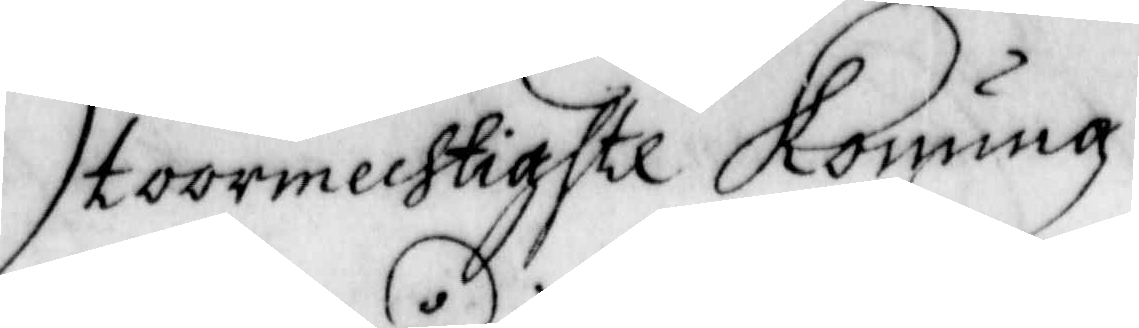Stormechtigste Konung
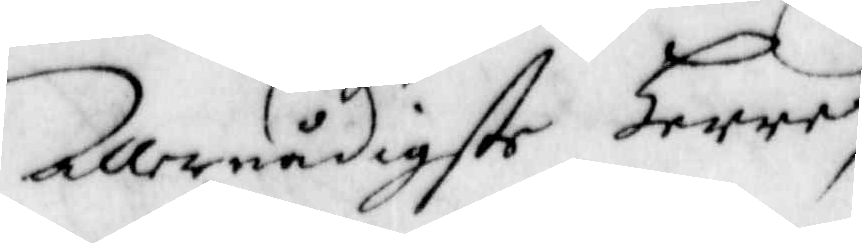Allernådigste Herre,
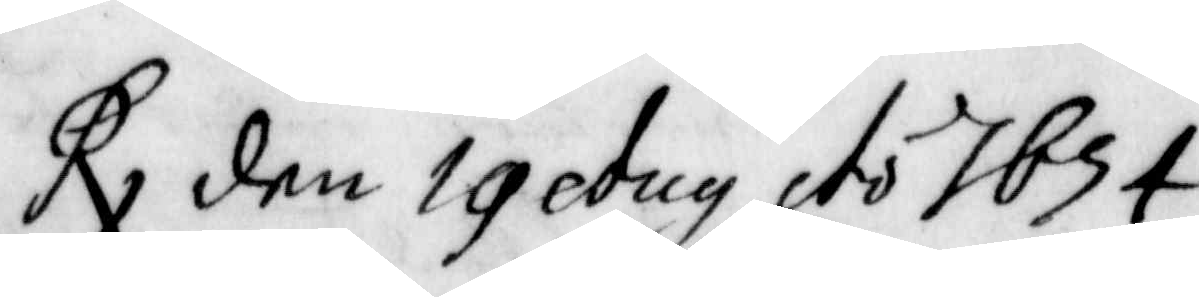Rx den 19 Aug Ao 1674
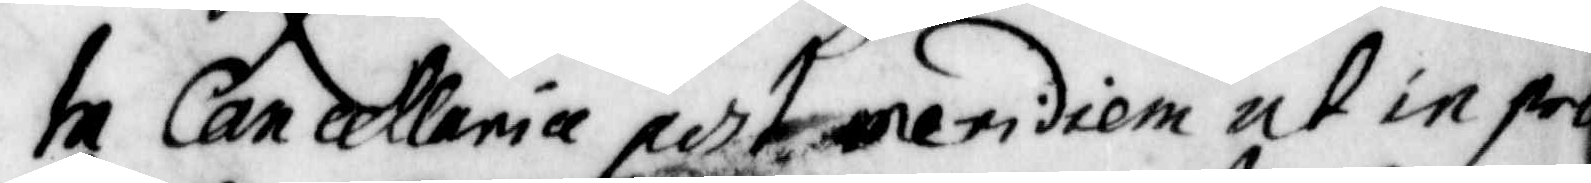In Cancelleria per 1 intidiem ut in pro¬
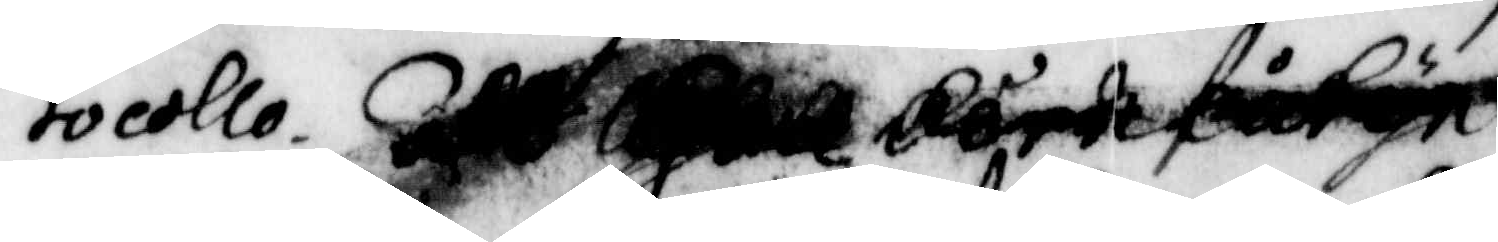tocollo. Att
